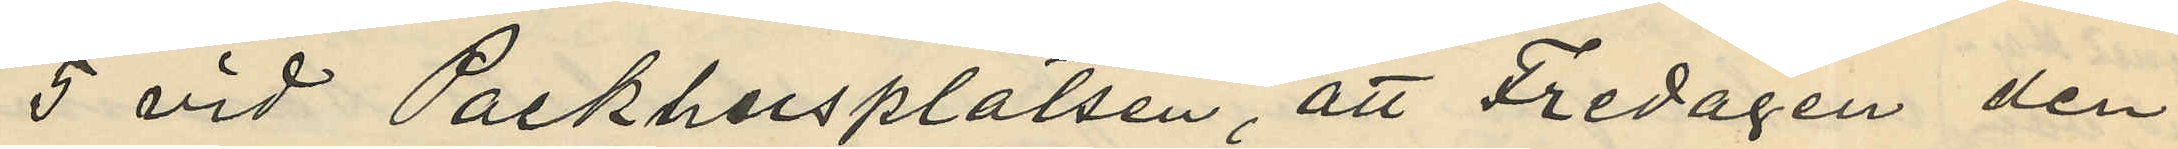5 vid Packhusplatsen, att Fredagen den
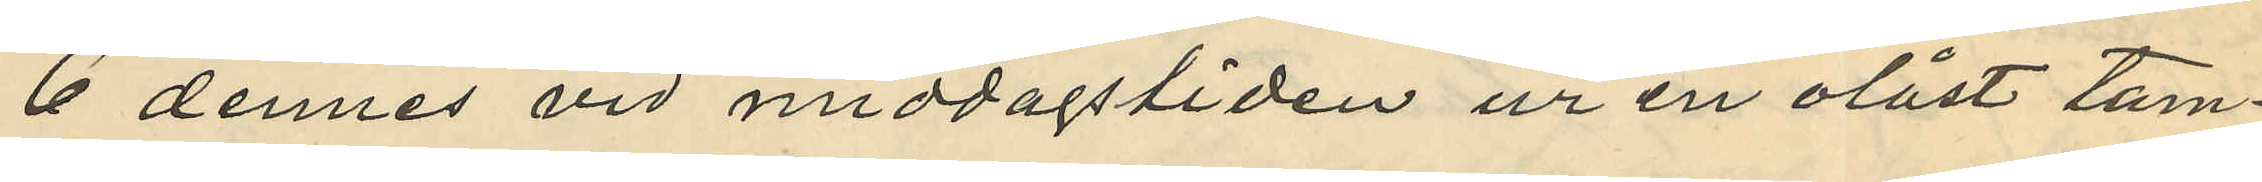6 dennes vid middagstiden ur en olåst tam¬
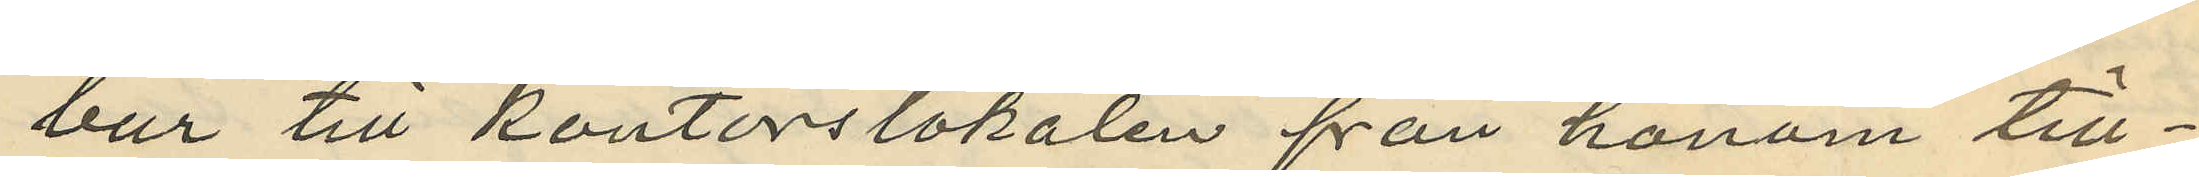bur till kontorslokalen från honom till¬
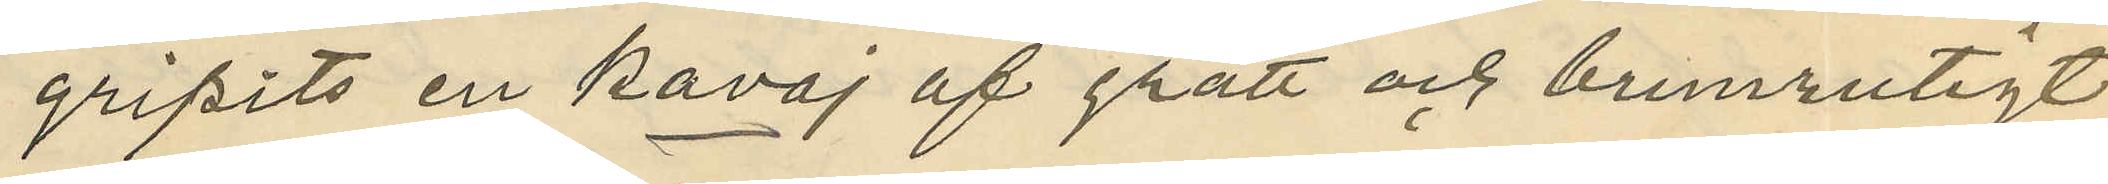gripits en kavaj af grått och brunrutigt
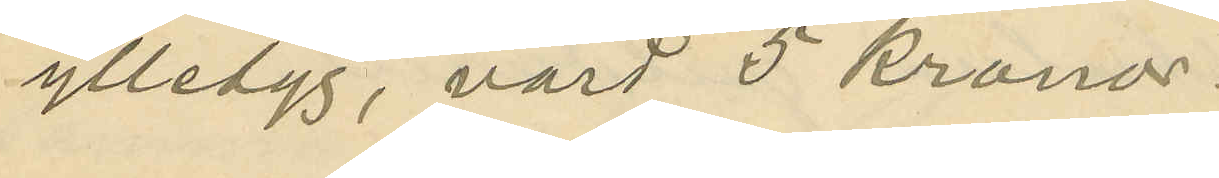ylletyg, värd 5 kronor.
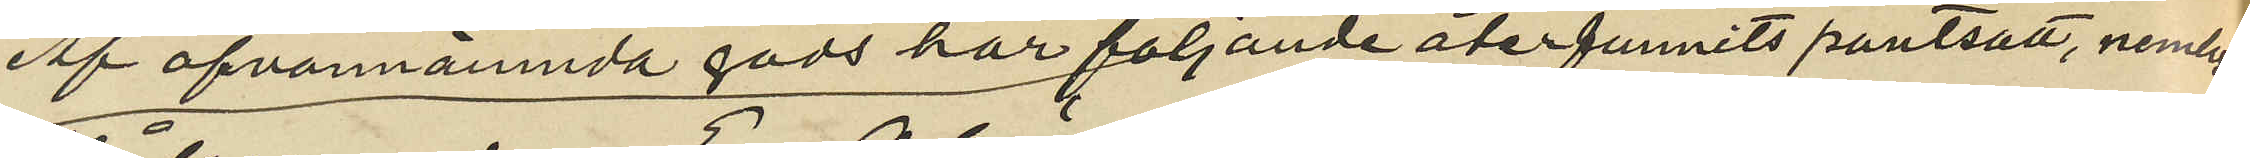Af ofvannämnda gods har följande återfunnits pantsatt, nemligen,
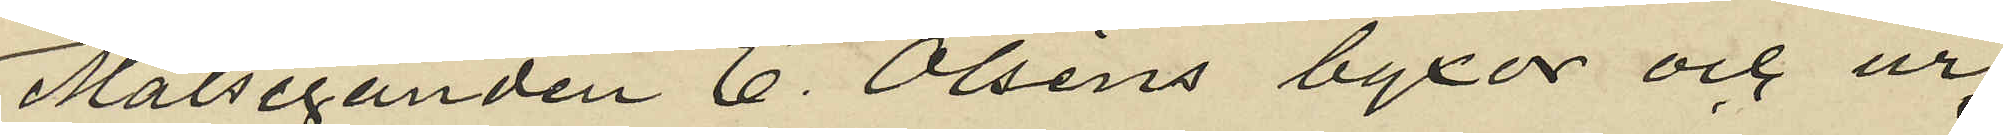Målseganden E. Olsens byxor och ur,
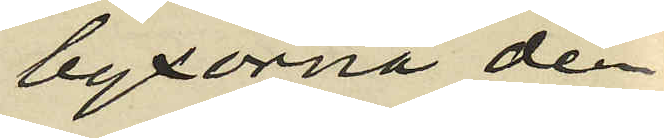byxorna den
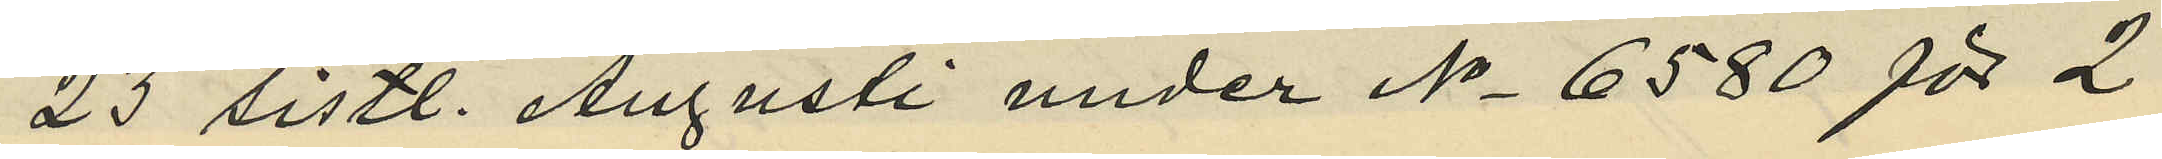23 sistl. Augusti under No 6580 för 2
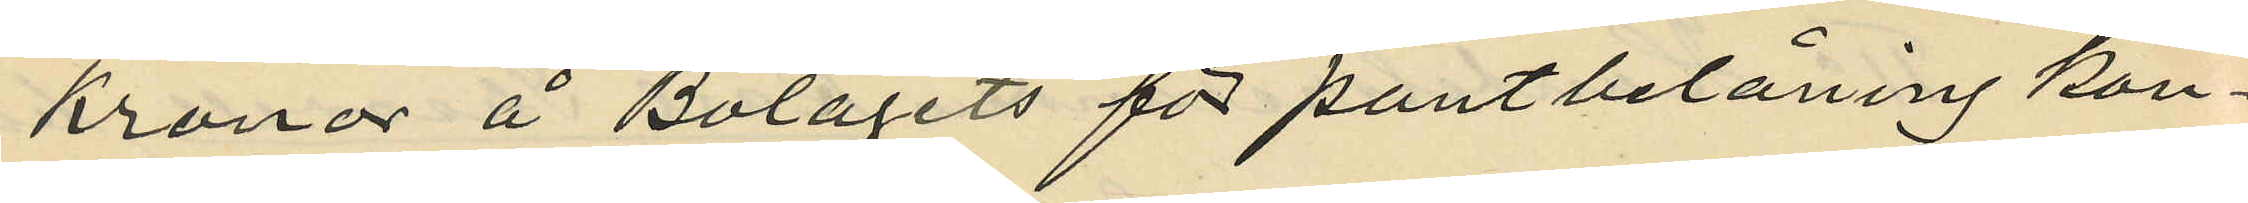kronor å Bolagets för pantbelåning kon¬
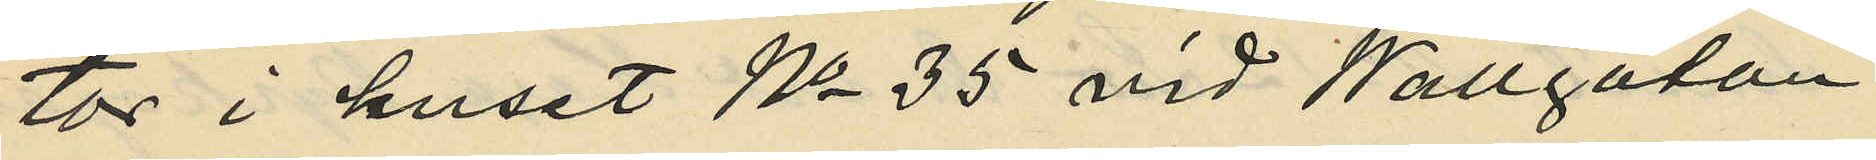tor i huset No 35 vid Wallgatan
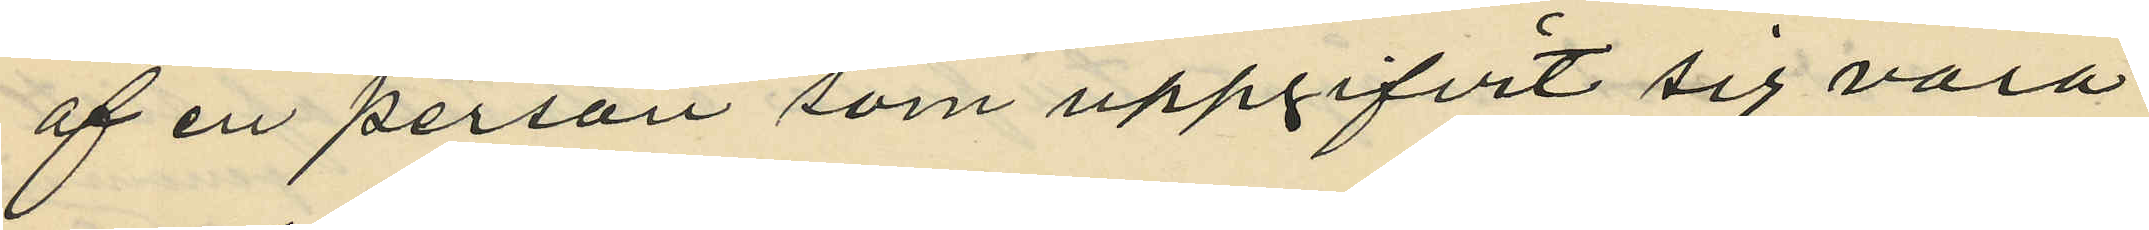af en person som uppgifvit sig vara
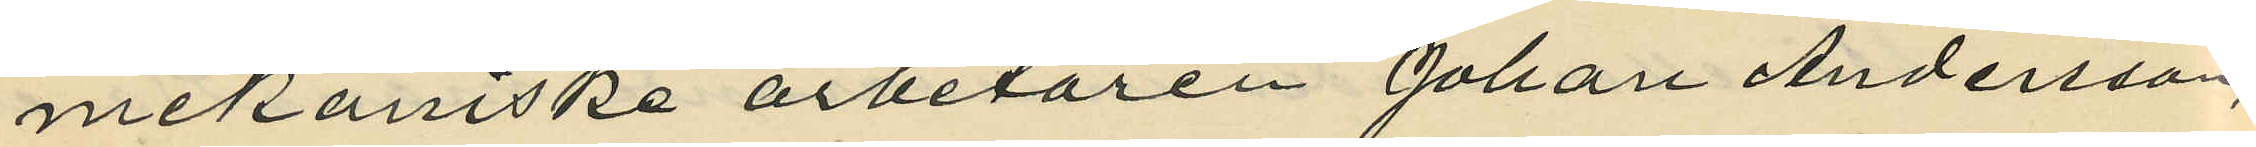mekaniske arbetaren Johan Andersson,
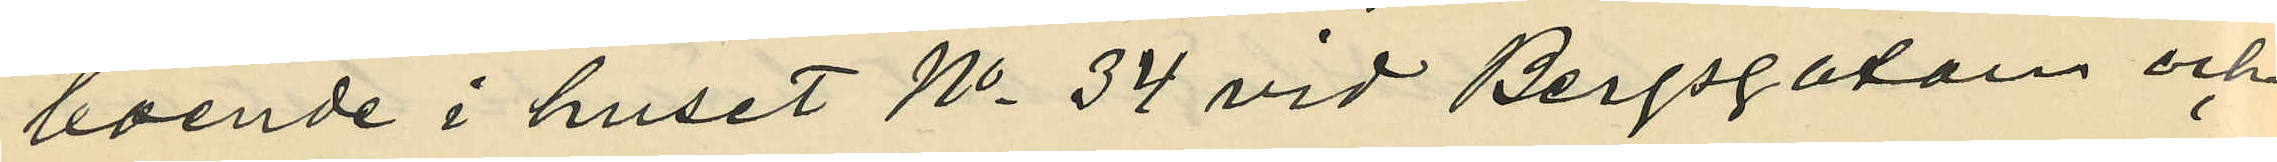boende i huset No 34 vid Bergsgatan och
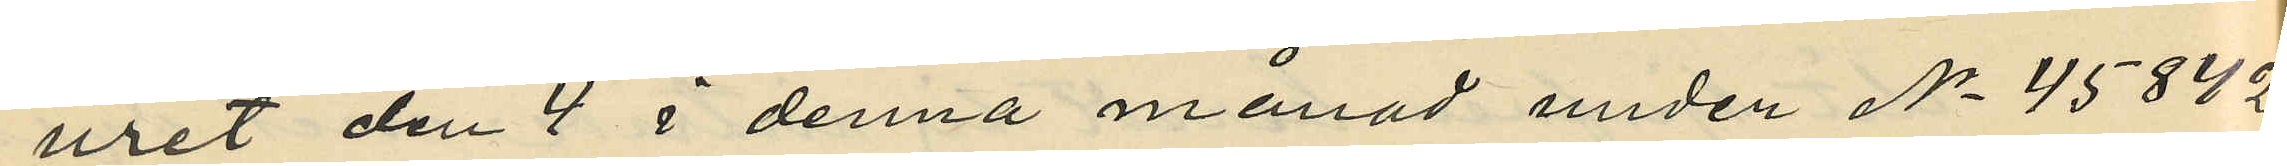uret den 4 i denna månad under No 45842
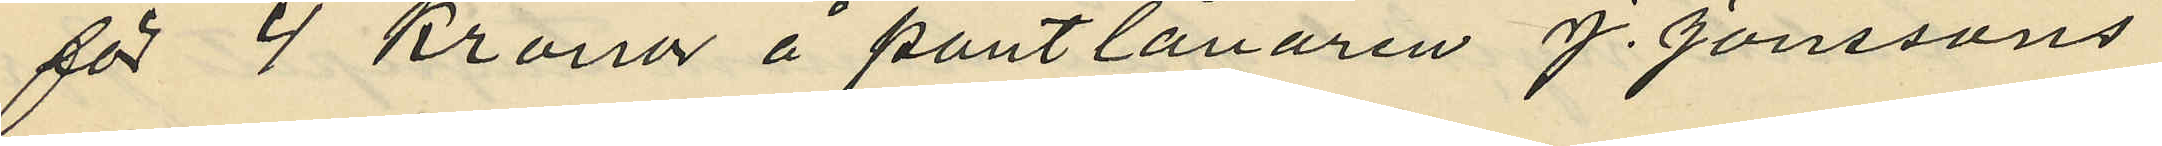för 4 Kronor å pantlånaren J. Jonssons
